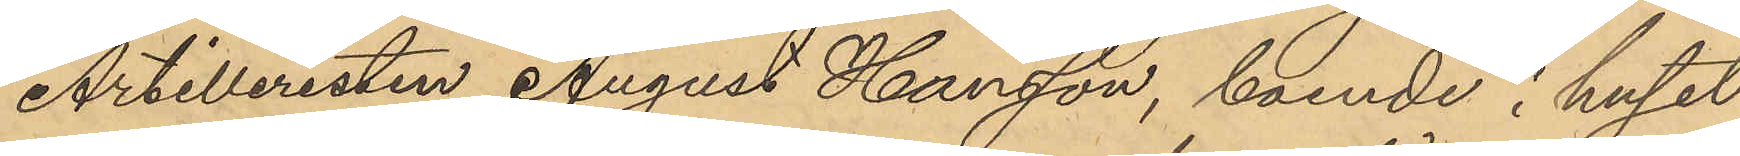Artilleristen August Hansson, boende i huset
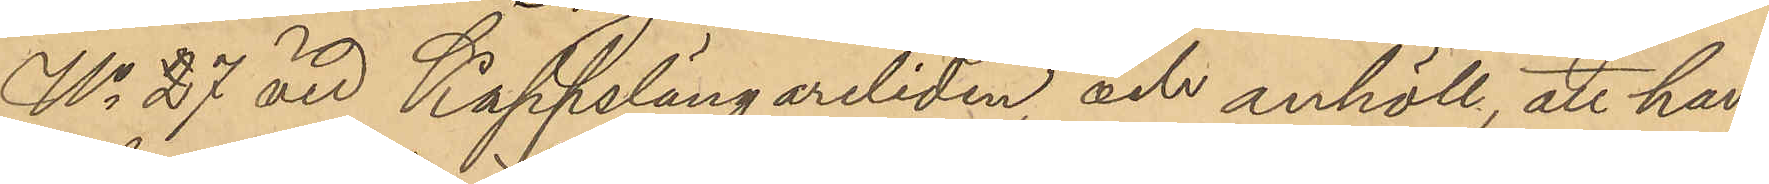No 27 vid Käppslängareliden och anhöll att han
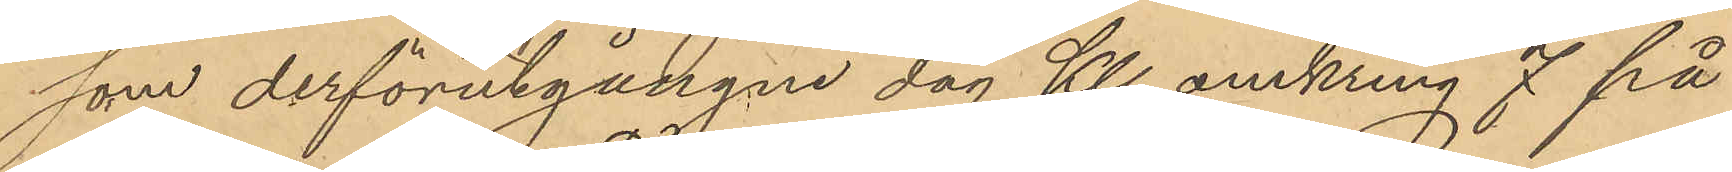som derförutgångne dag Kl. omkring 7 på
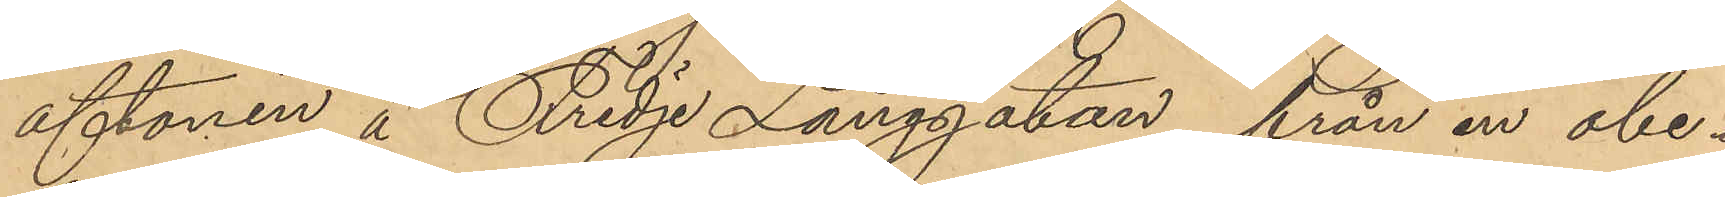aftonen å Tredje Långgatan, från en obe¬
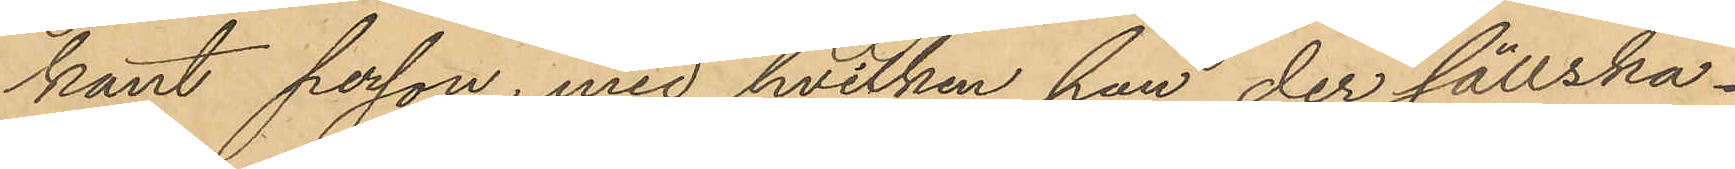kant person, med hvilken han der sällska¬
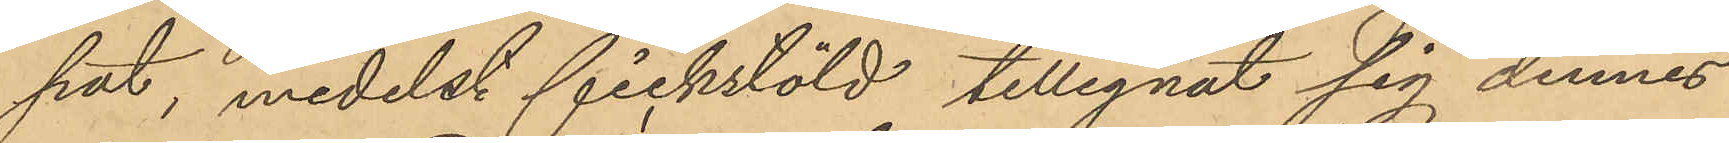pat, medelst fickstöld tillegnat sig dennes
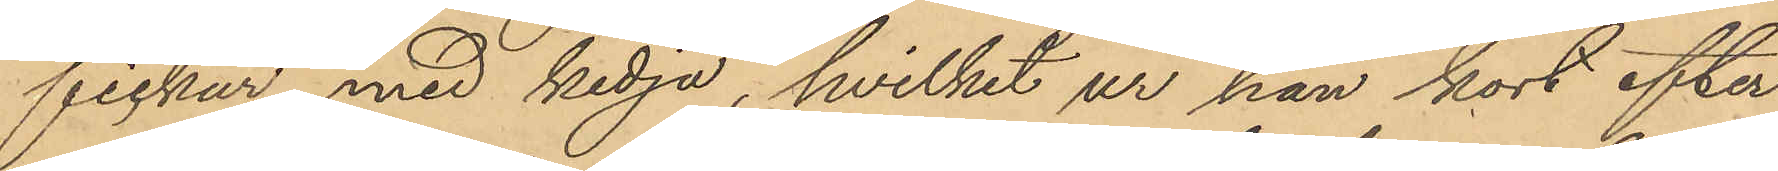fickur med kedja, hvilket ur han kort efter
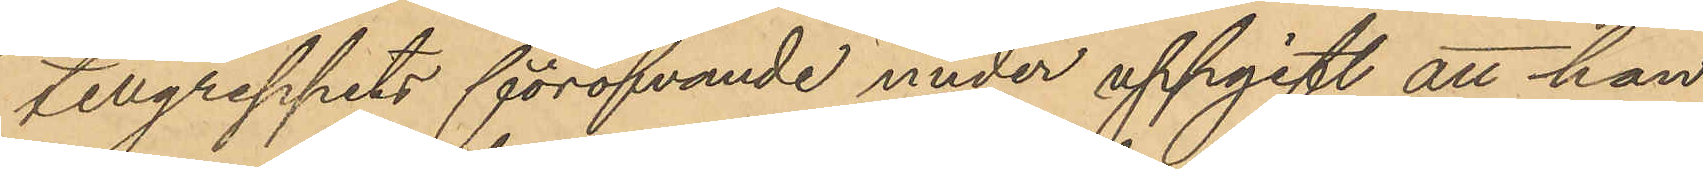tillgreppets föröfvande under uppgift att han
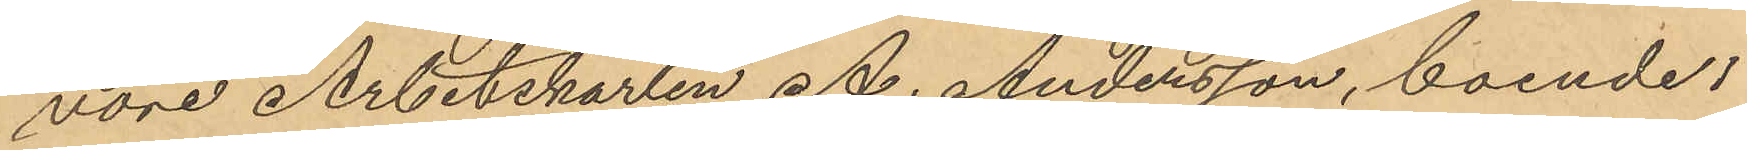vore Arbetskarlen A. Andersson, boende i
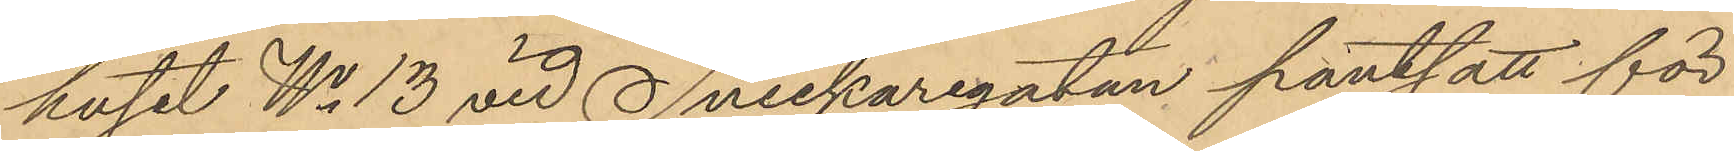huset No 13 vid Snickaregatan pantsatt för
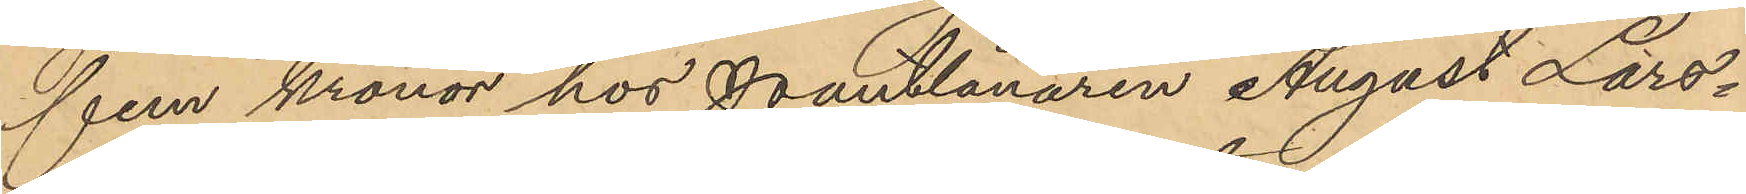fem kronor hos Pantlånaren August Lars¬
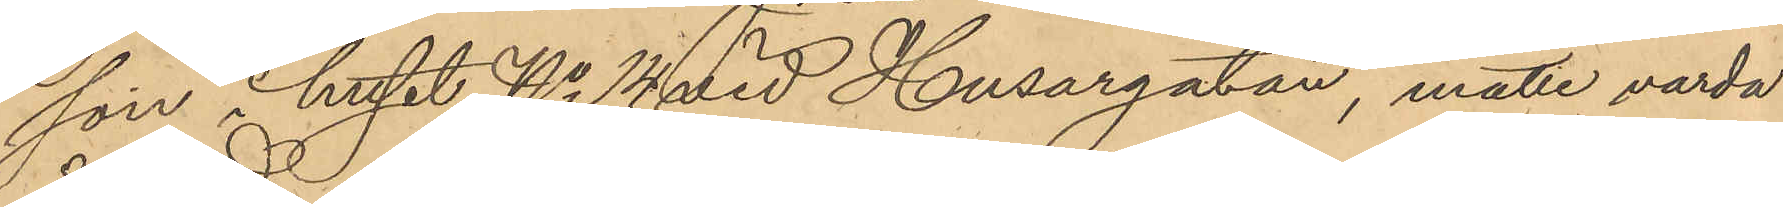son i huset No 14 vid Husargatan, måtte varda
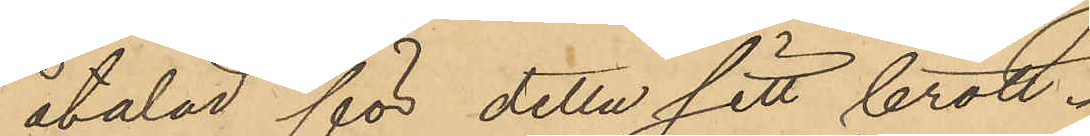åtalad för detta sitt brott.
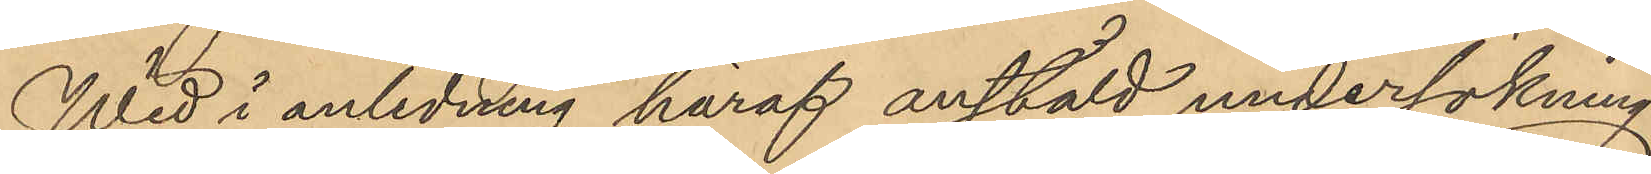Wid i anledning häraf anstäld undersökning
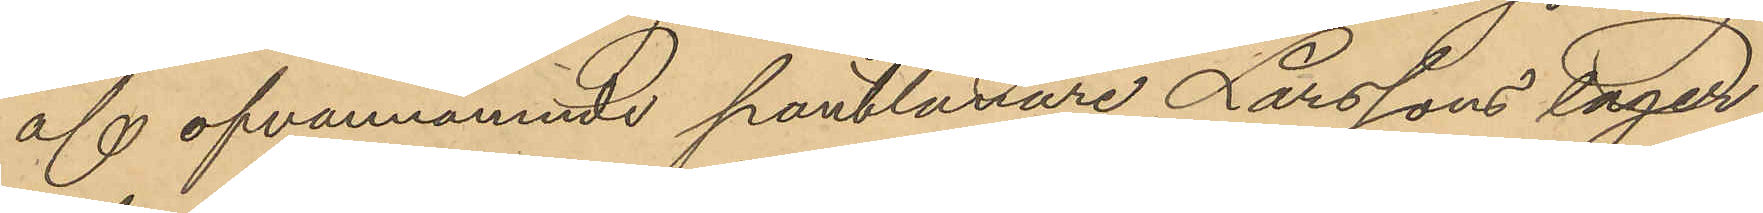af ofvannämnde pantlånare Larssons lager
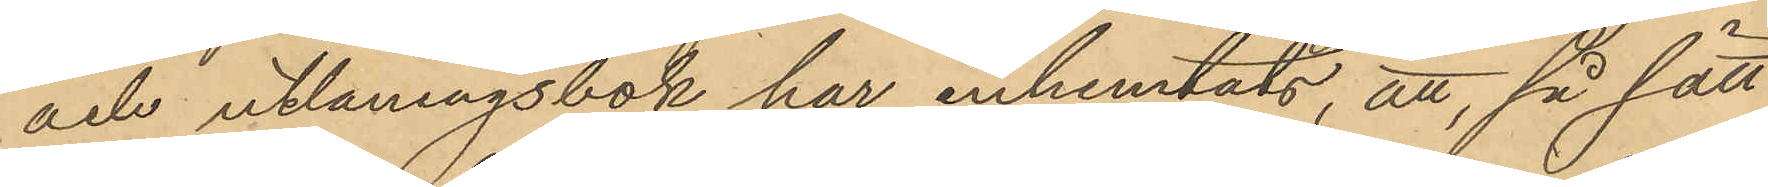och utlåningsbok har inhemtats, att, så sätt
